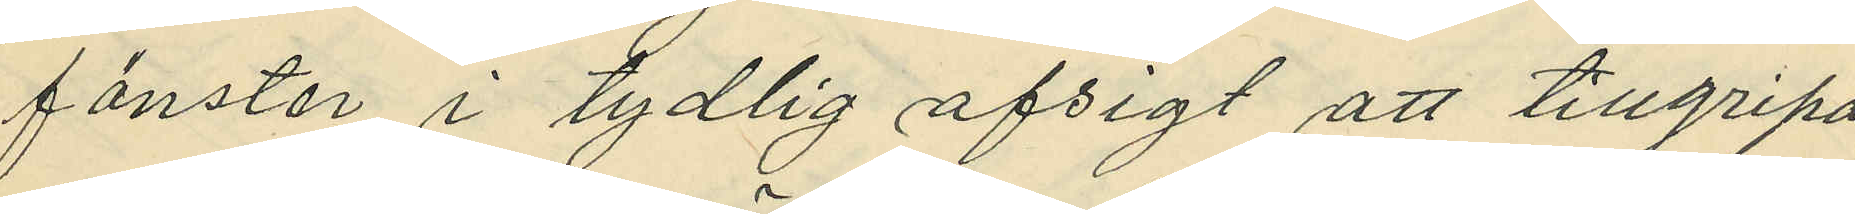fönster i tydlig afsigt att tillgripa
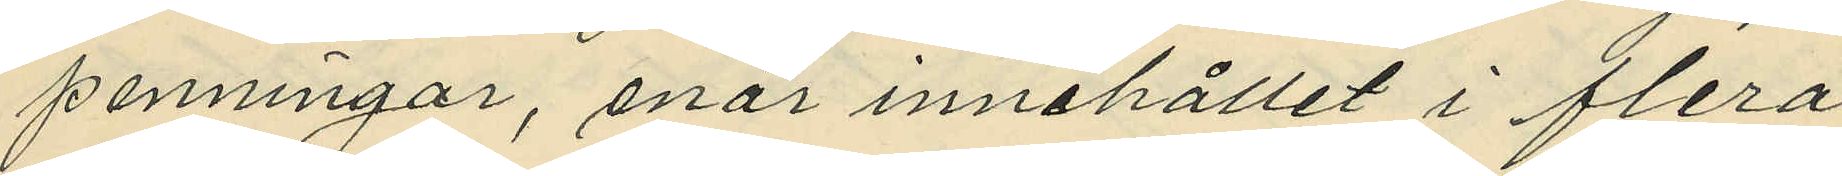penningar, enär innehållet i flera
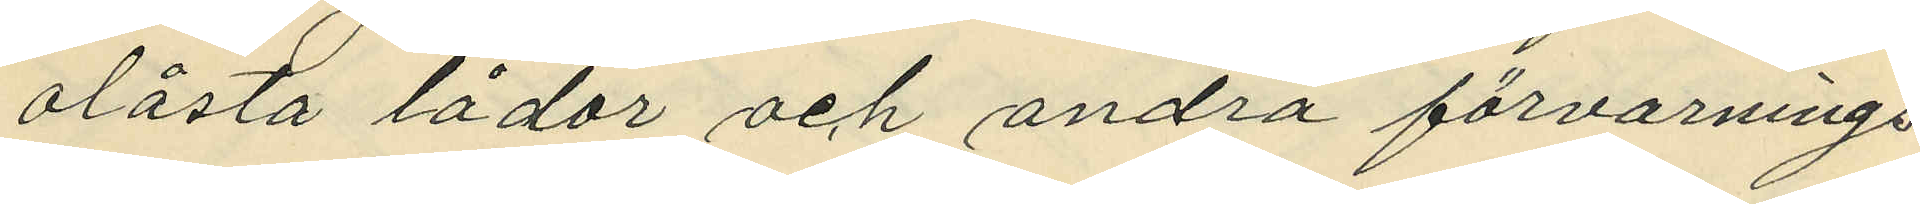olåsta lådor och andra förvarings¬
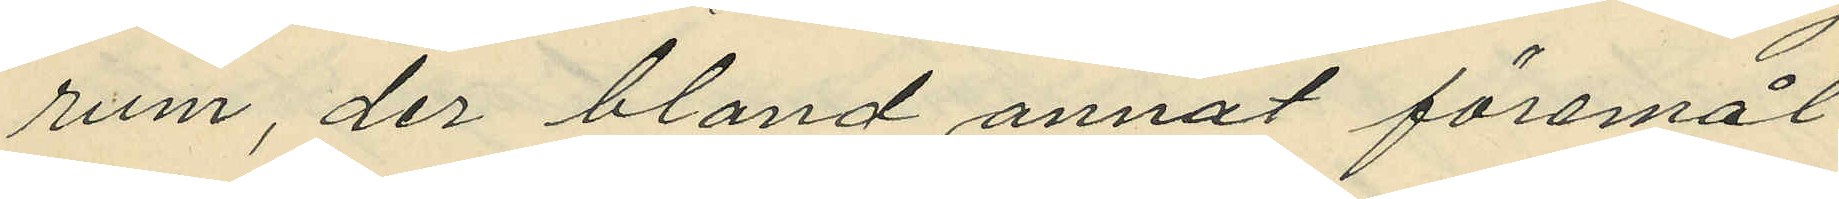rum, der bland annat föremål
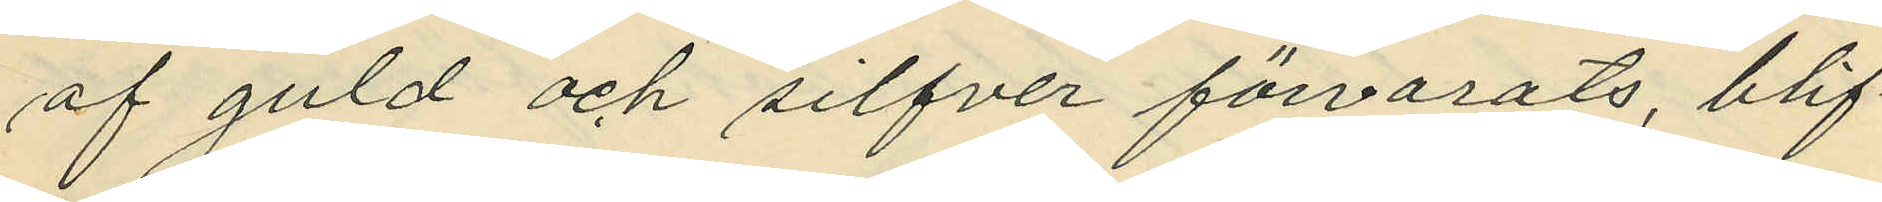af guld och silfver förvarats, blif¬
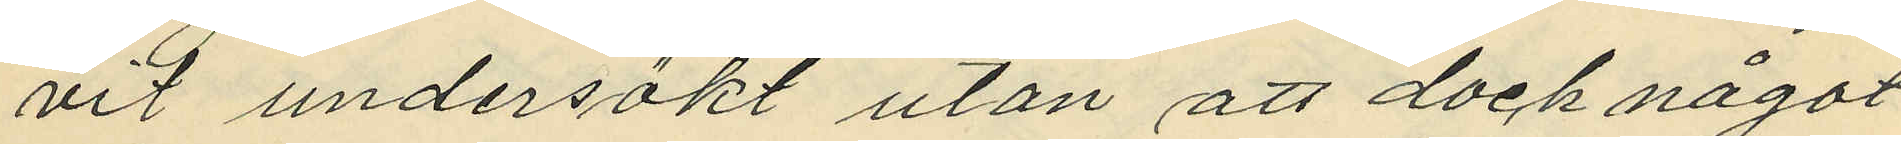vit undersökt utan att dock något
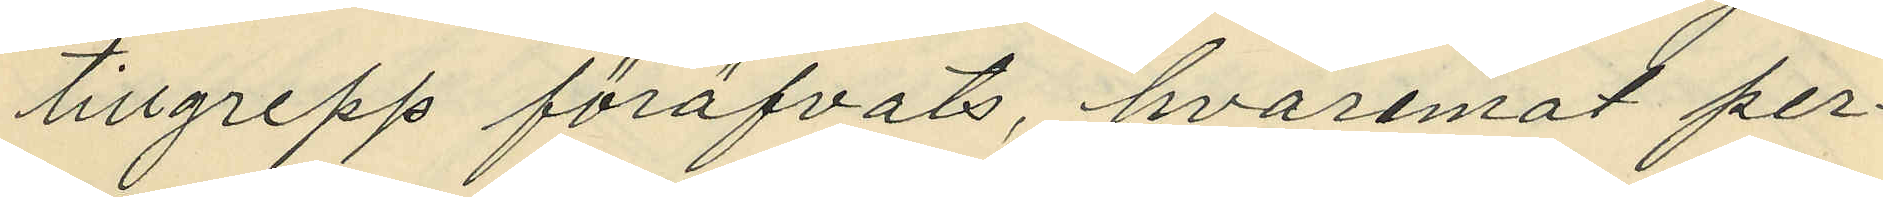tillgrepp föröfvats, hvaremot per¬
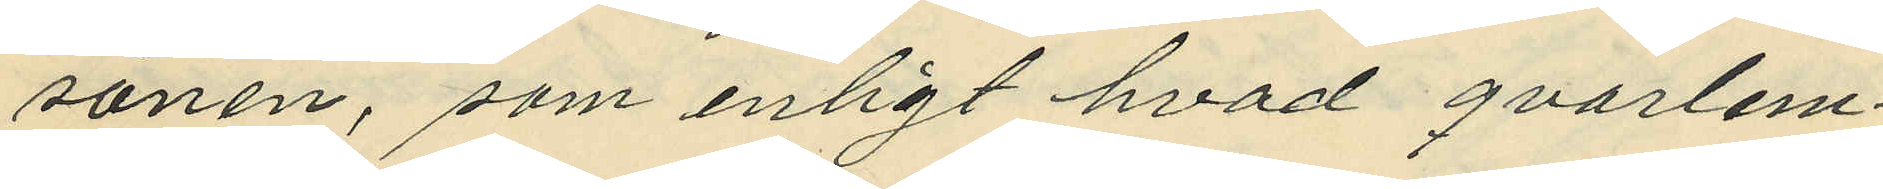sonen, som enligt hvad qvarlem¬
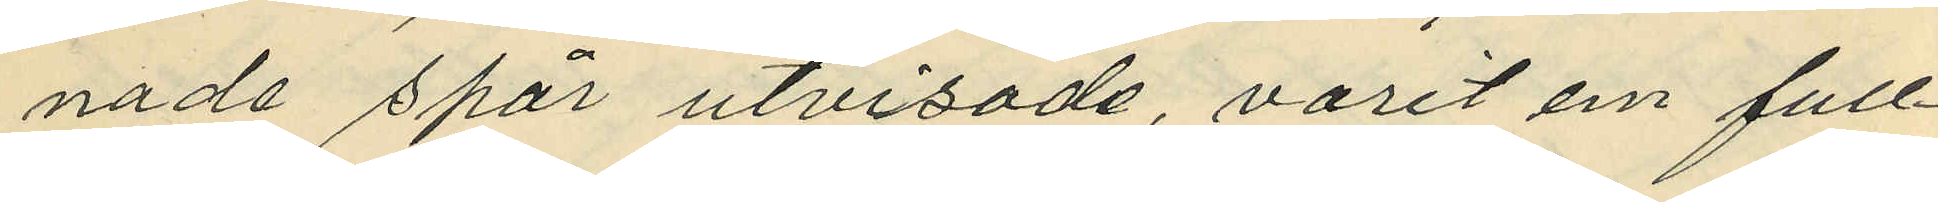nade spår utvisade, varit en full¬
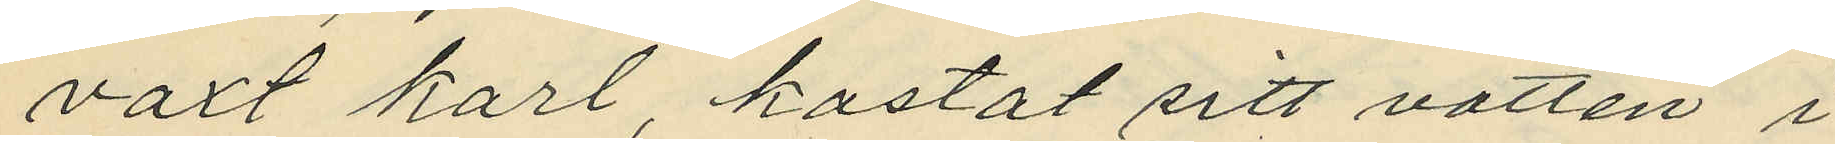växt karl, kastat sitt vatten i
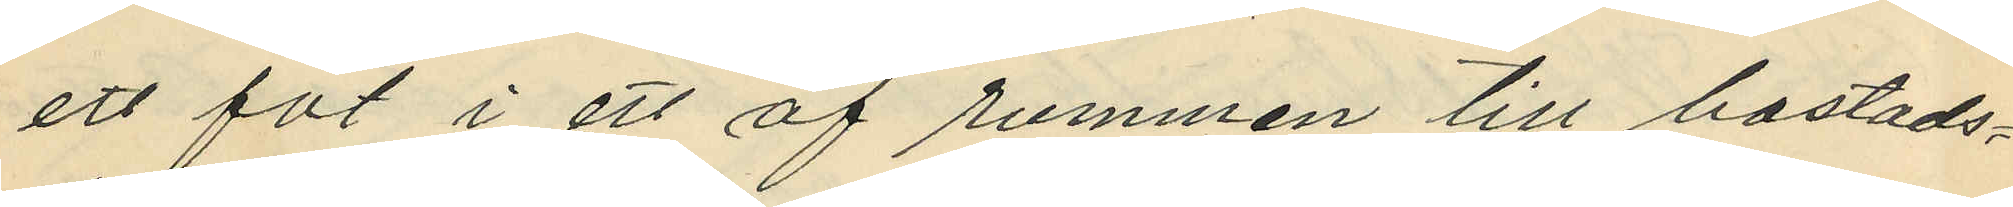ett fat i ett af rummen till bostads¬
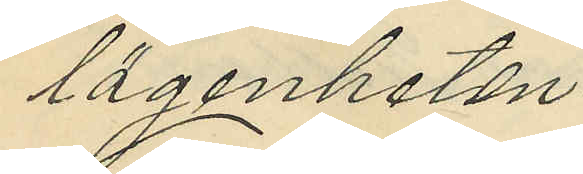lägenheten.
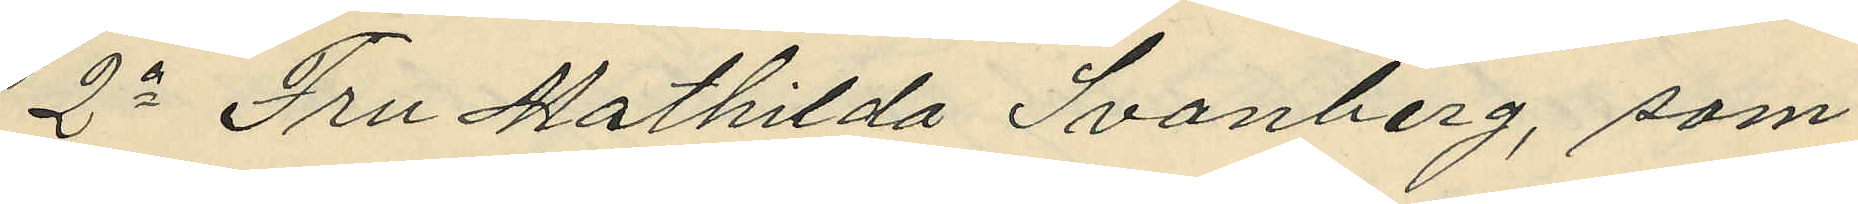2o Fru Mathilda Svanberg, som
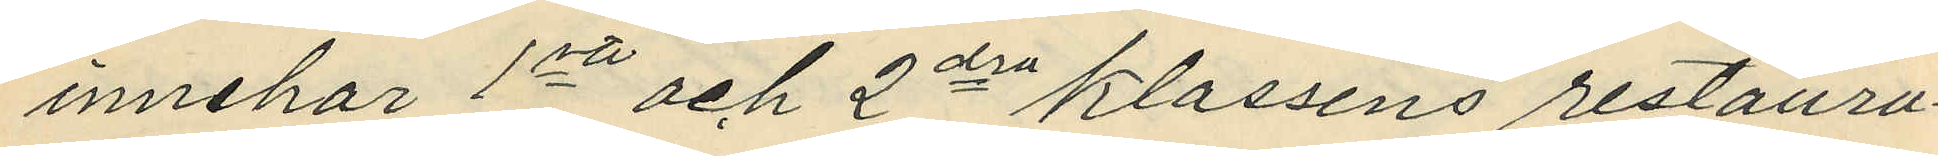innehar 1sta och 2dra klassens restaura¬
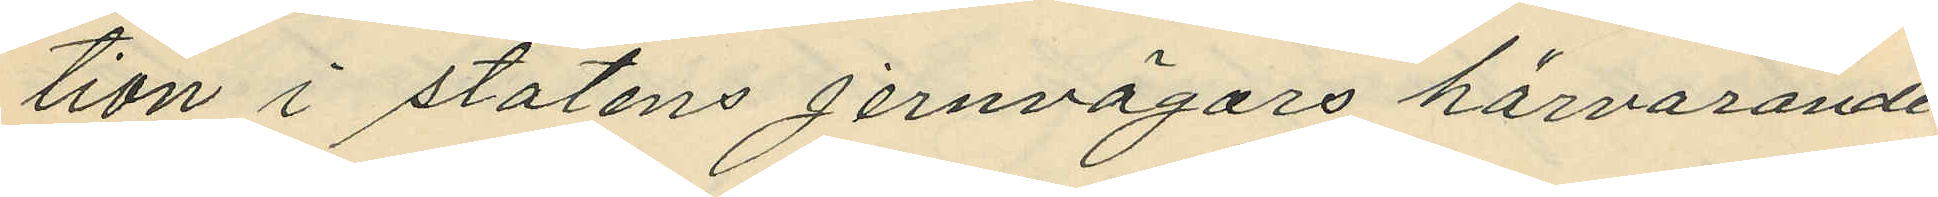tion i statens jernvägars härvarande
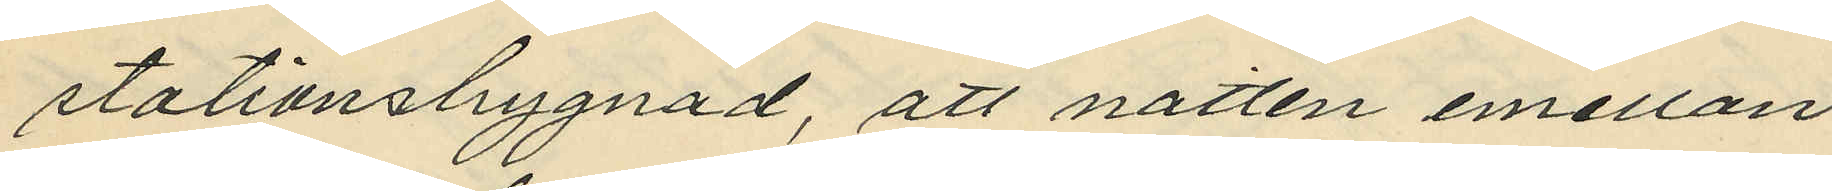stationsbyggnad, att natten mellan
